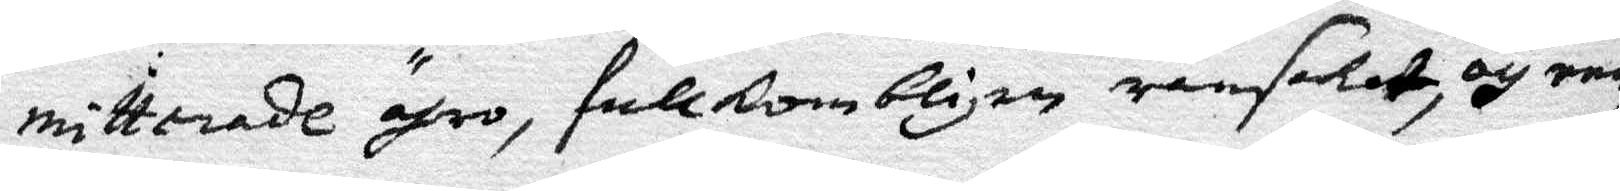mitterade ähro, fullkombligen ransakat, och enn
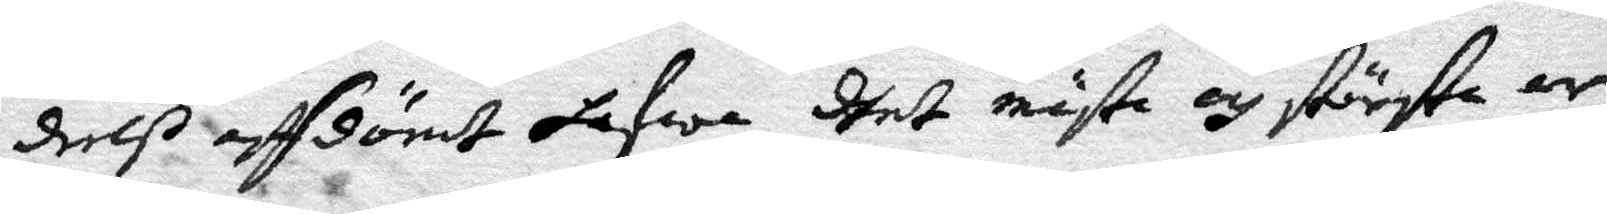dels affdömt hafwa, dhet mästa och största ar¬
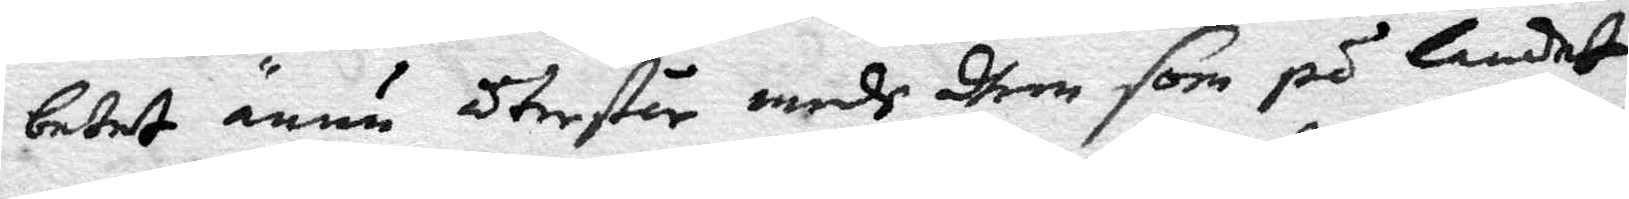betet ännü återstår medh dhem som på landet
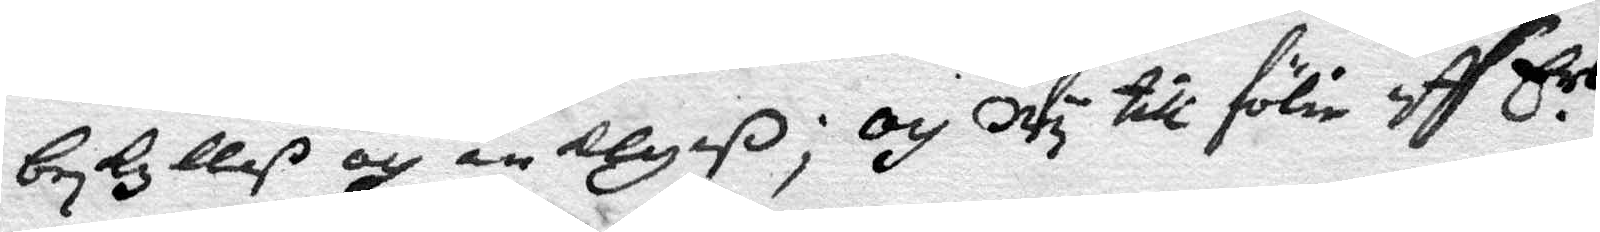besKylles och anklagaß; och Wy till fölie aff Ers
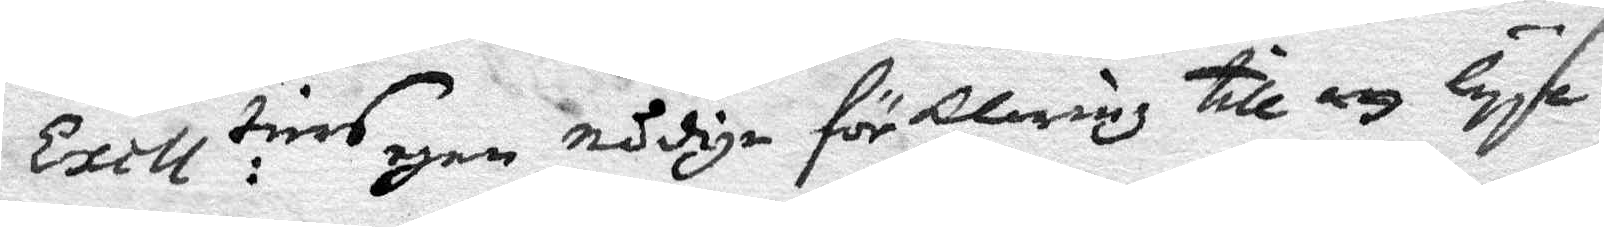Excll:tiers egen nådiga förklaring till att lÿse
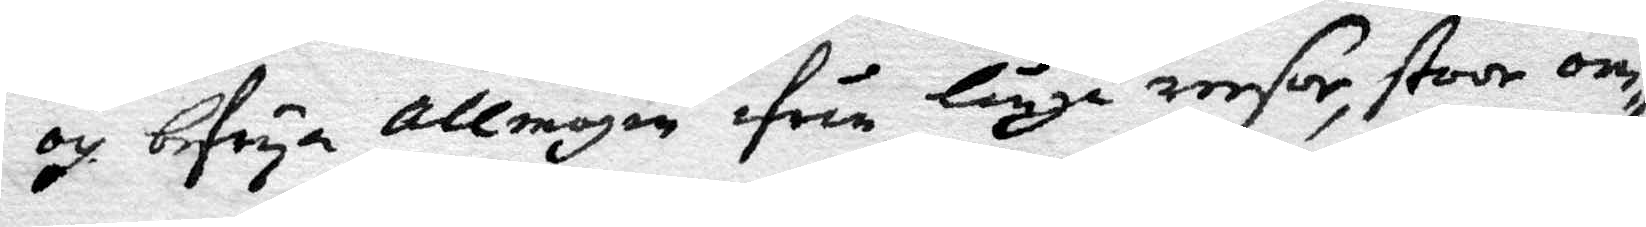och befrÿa allmogen ifrån långa reesor, stoor om¬
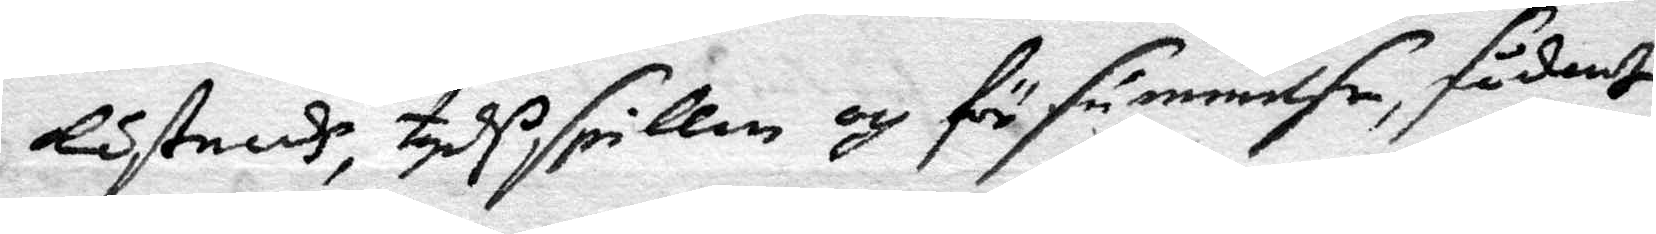Kostnadh, tydsspillan och försümmelse, sådant 
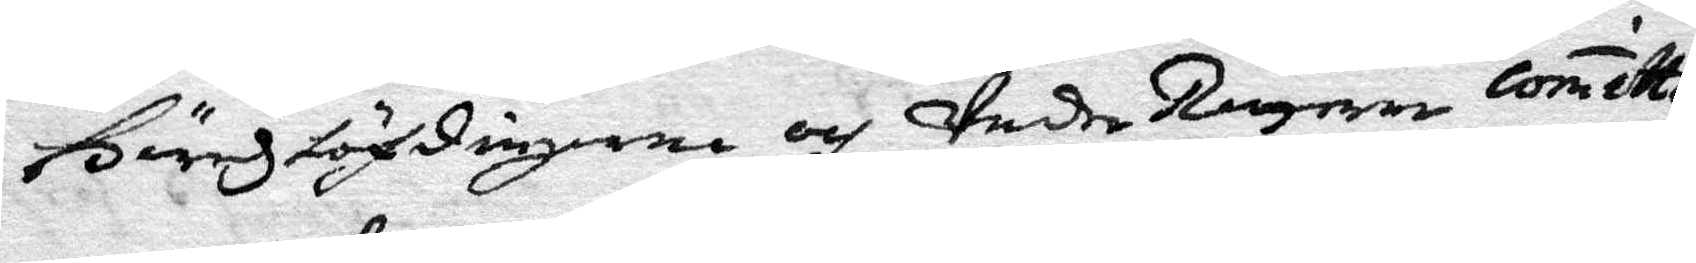häradshöfdingerne och UnderRätterne Comitte¬
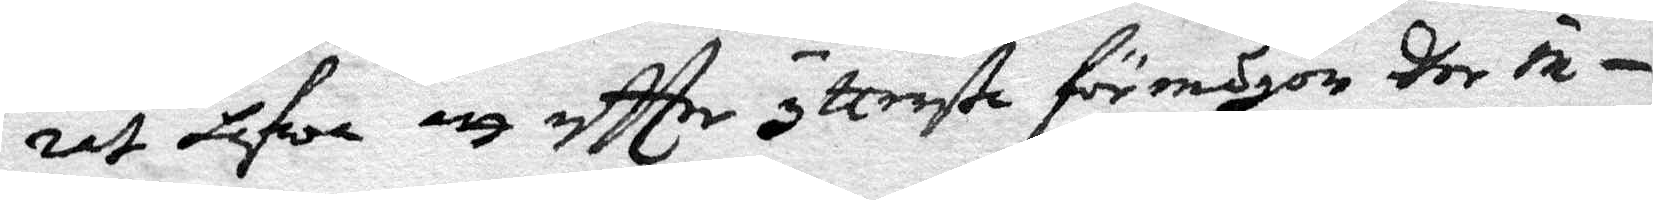rat hafwa att efter yttersta förmågor dher in
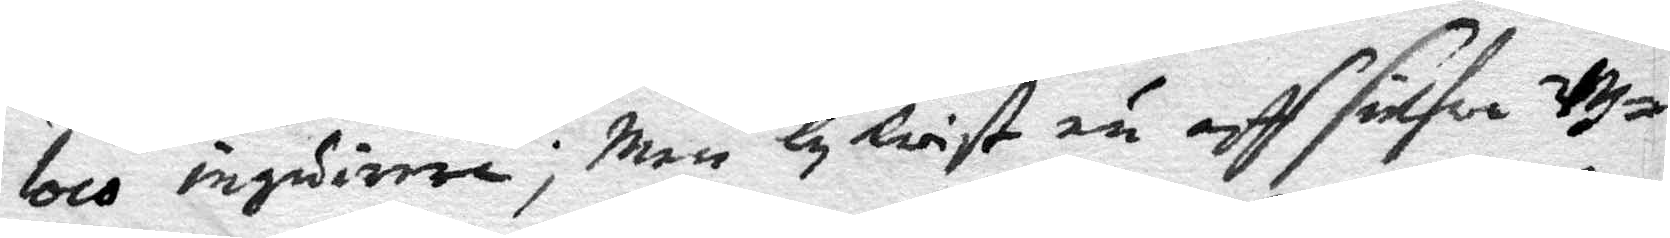loco ingadirera; Men lyKiast än aff sielfwa Ut¬
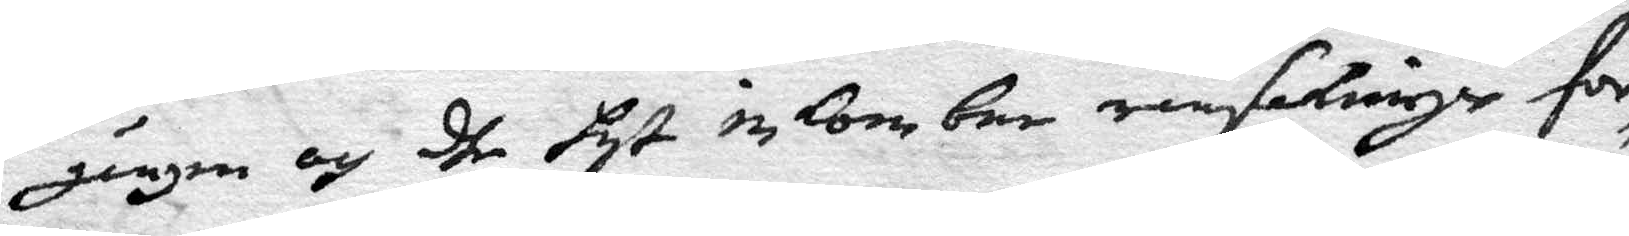gången och dhe hyt inKombne ransakninger för¬
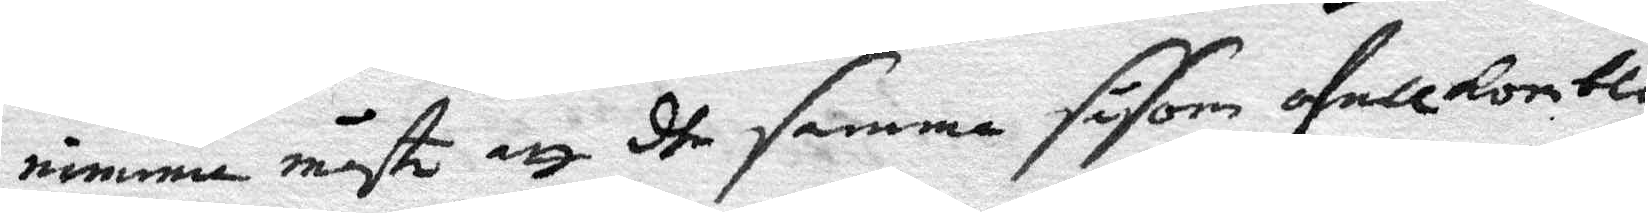nimma måste att dhe samma såsom ofullKombli¬
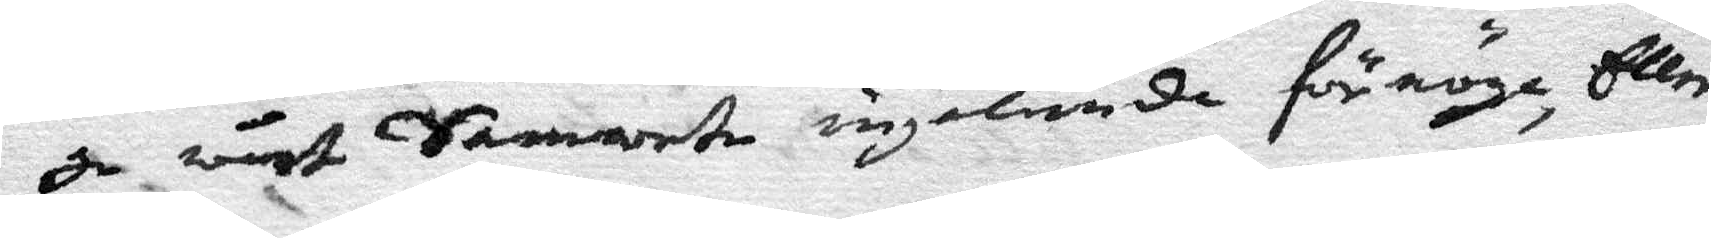ge wårt Samwete ingelunda förnöga, Eller
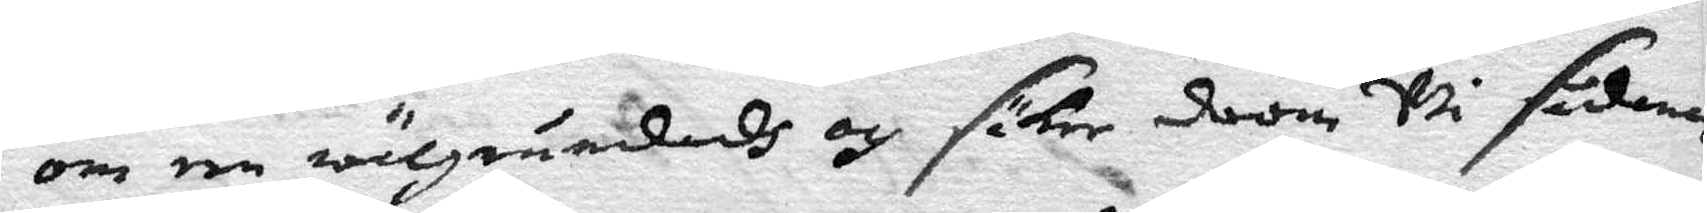om en wälgründadh och säker doom wi sådana
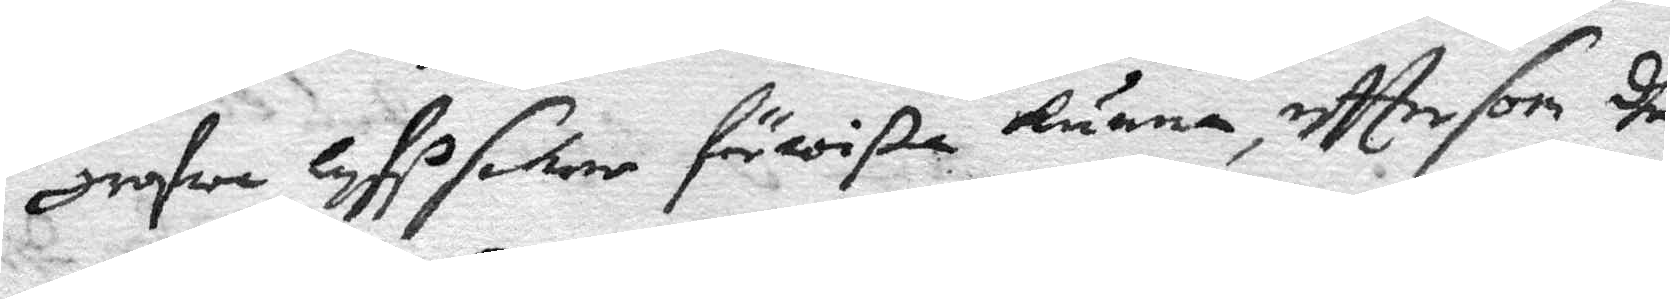grofwa lyfssaker förwißa kunna, effter som dhe
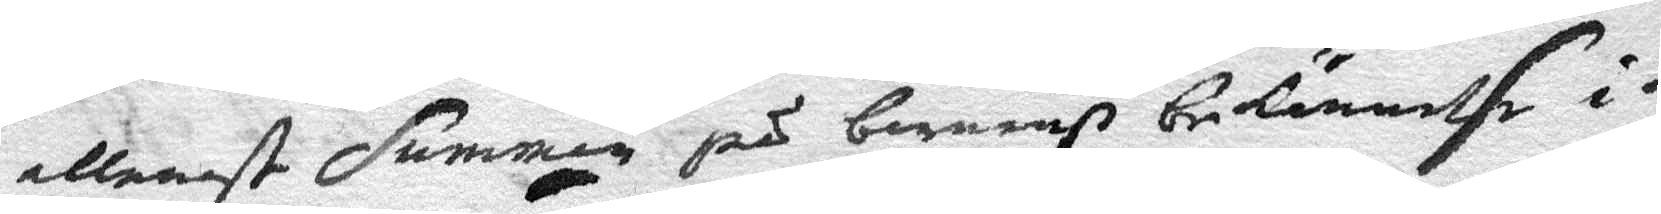allenast summan på barnenß bekännelse i
